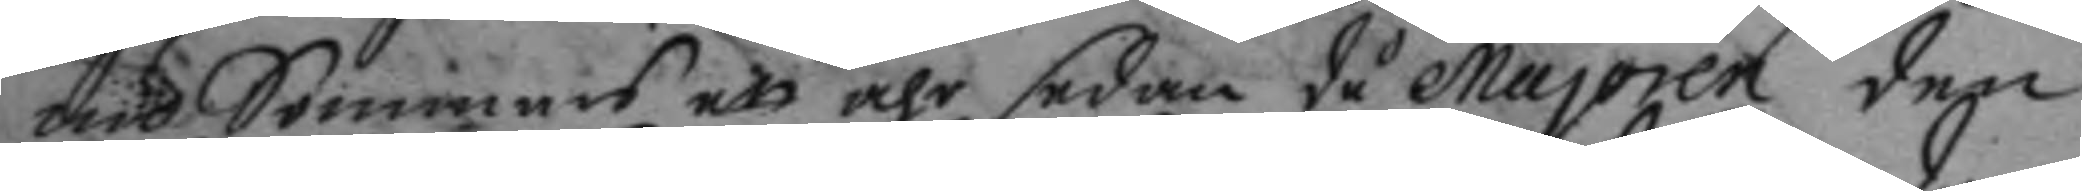om Sommars ett åhr sedan då Majoren den
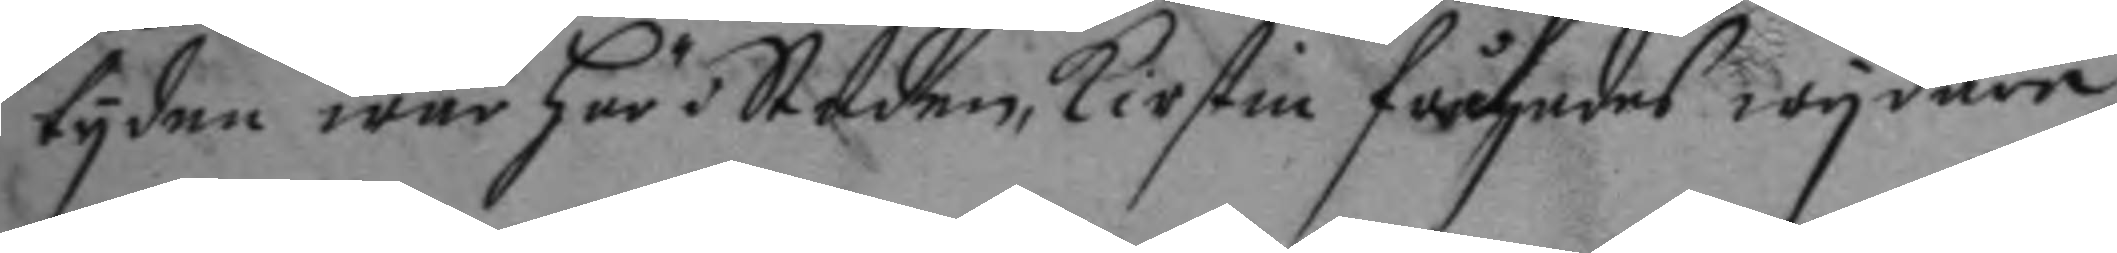tyden war här i Staden, Kirstin frågades wydare
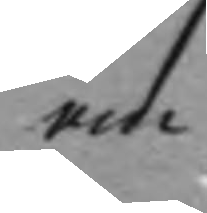om
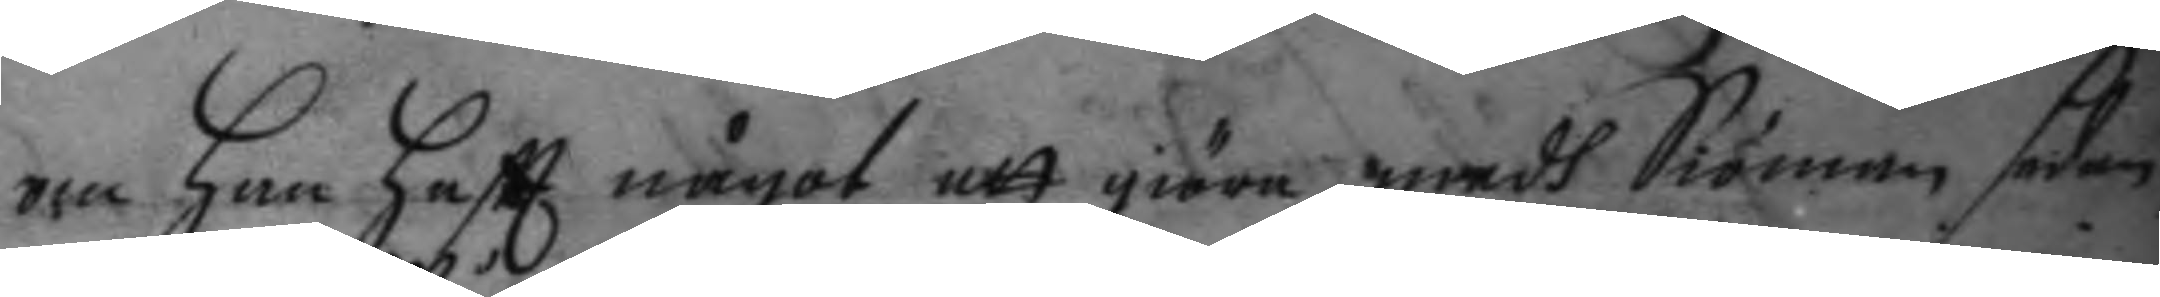om hon haftt något att giöra medh Siöman sedan
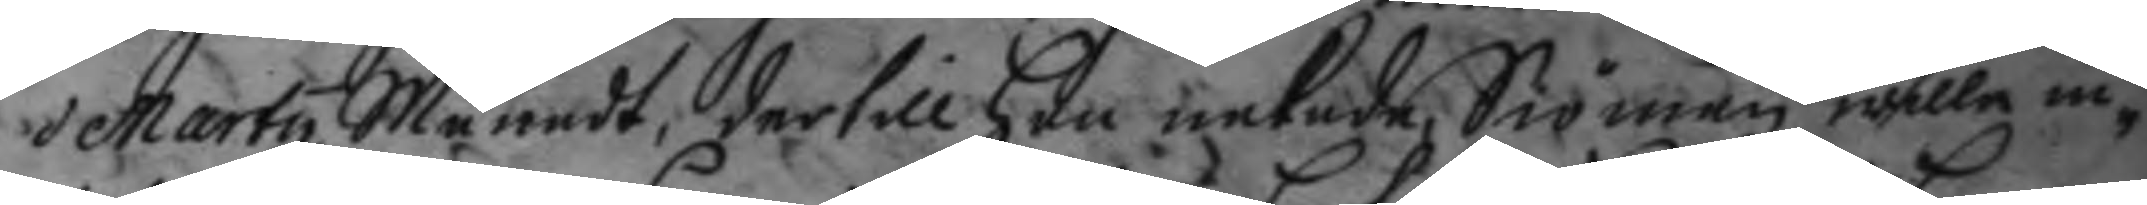marty Månadt, dertill hon nekade, Siöman wille in¬
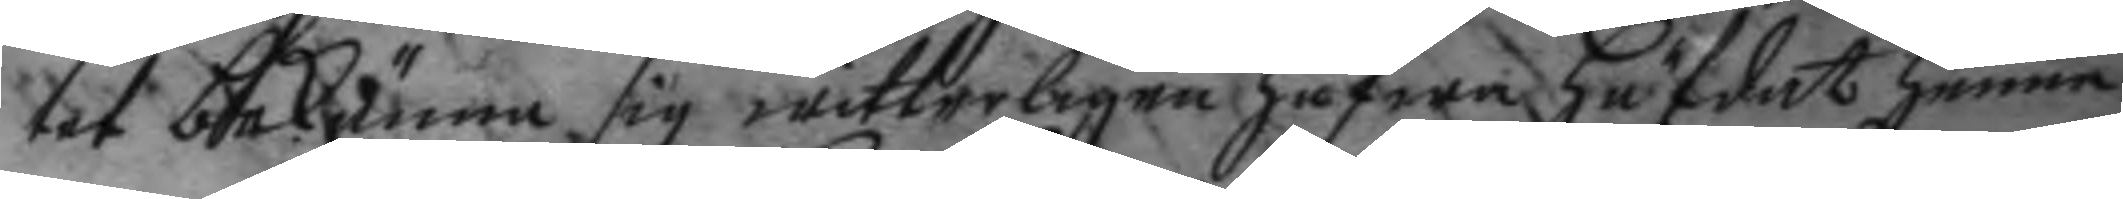tet bekänna sig witterligen hafwa häfdat henne
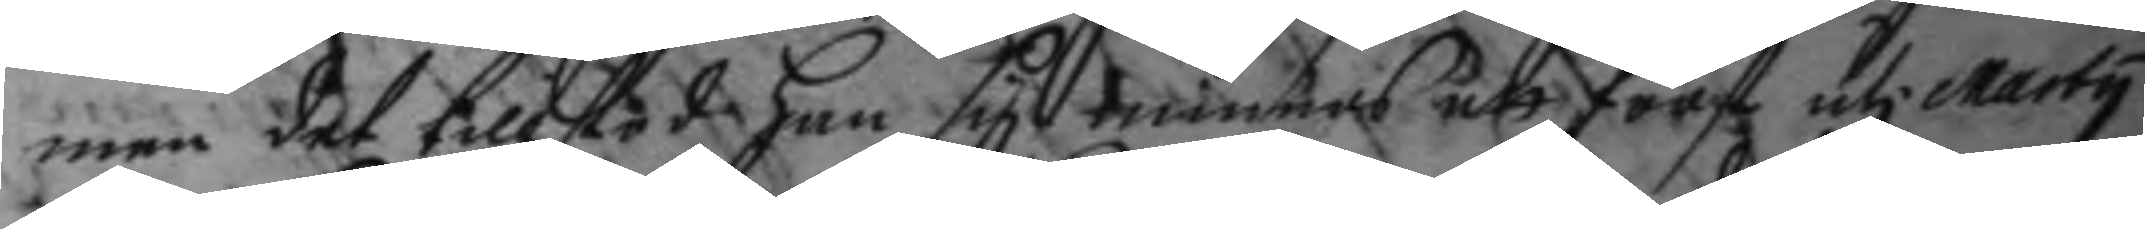men det tillstod hon sig minnas att först uti Marty
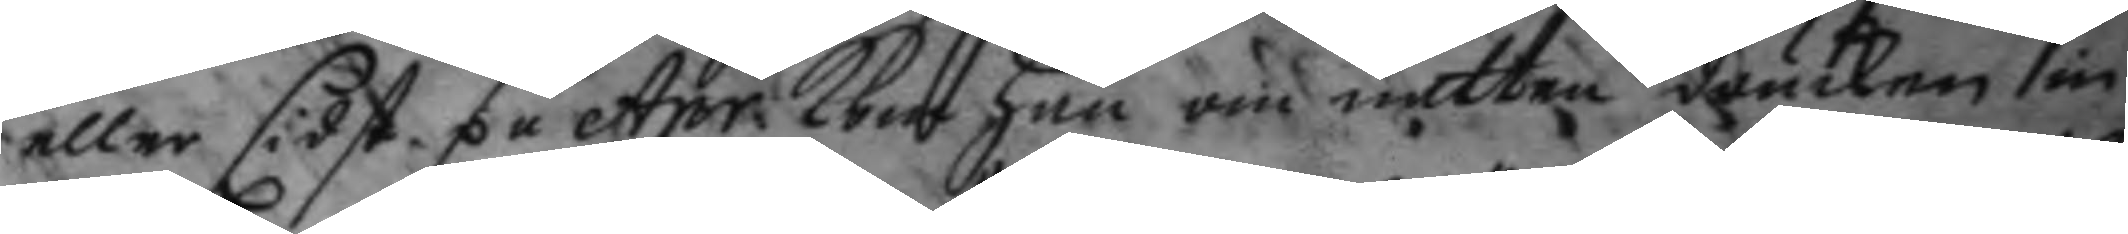eller sidst på Apr. kom han om natten drucken in
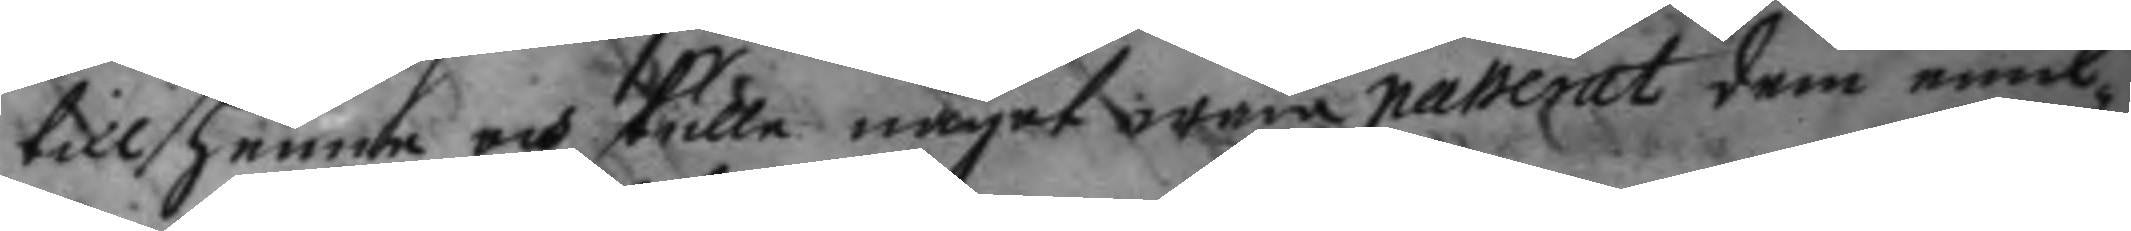till henne och skulle något wara passerat dem emil¬
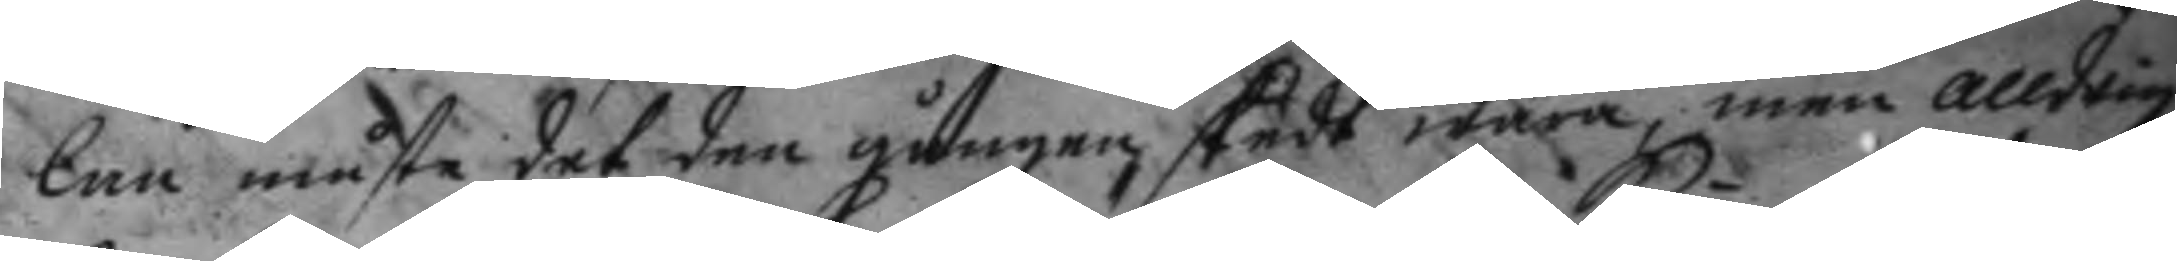lan måste det den gången skedt wara, men alldrig
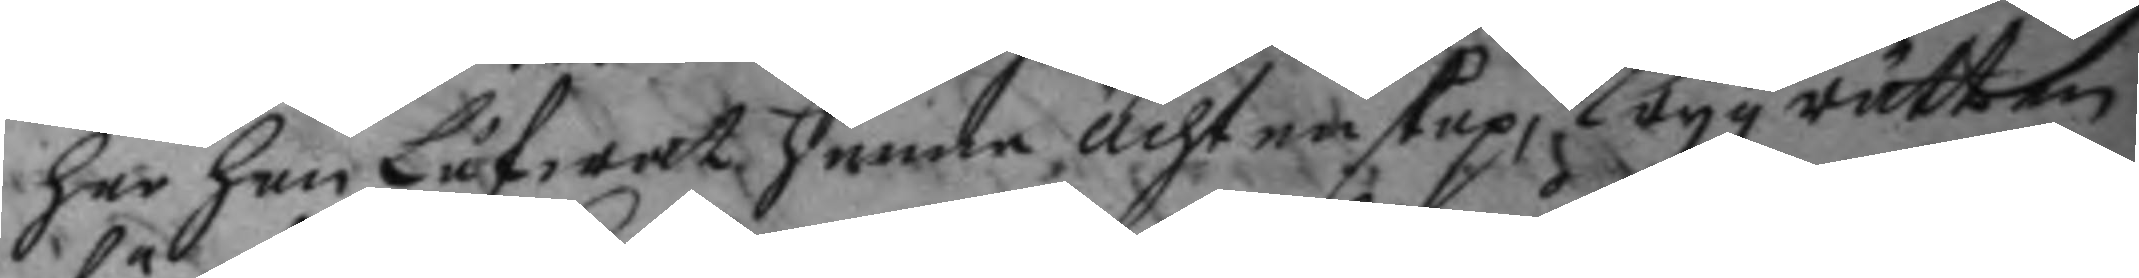har han Låfwat henne ächtenskap, Krygz rätten
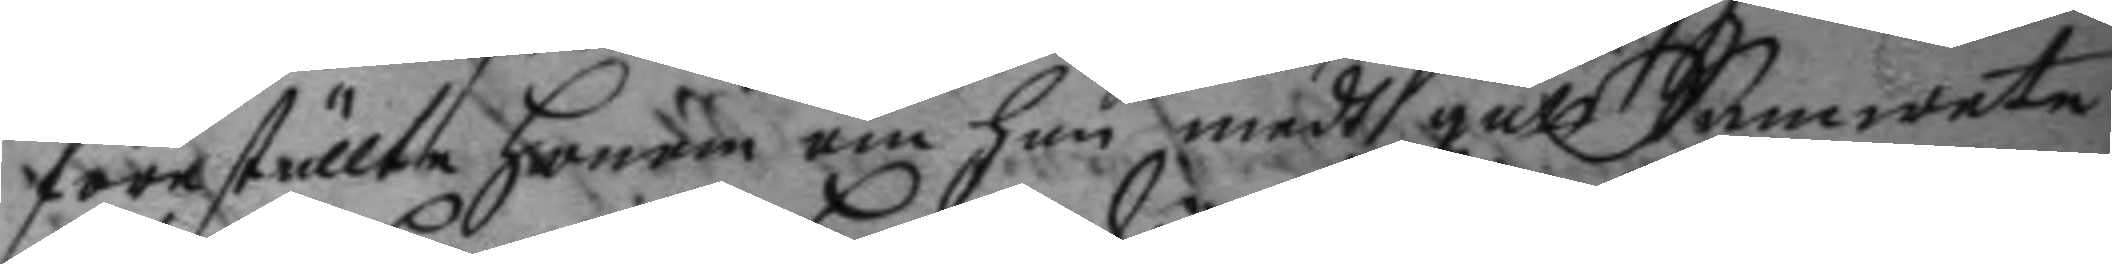föreställte honom om han medh gått Samwete
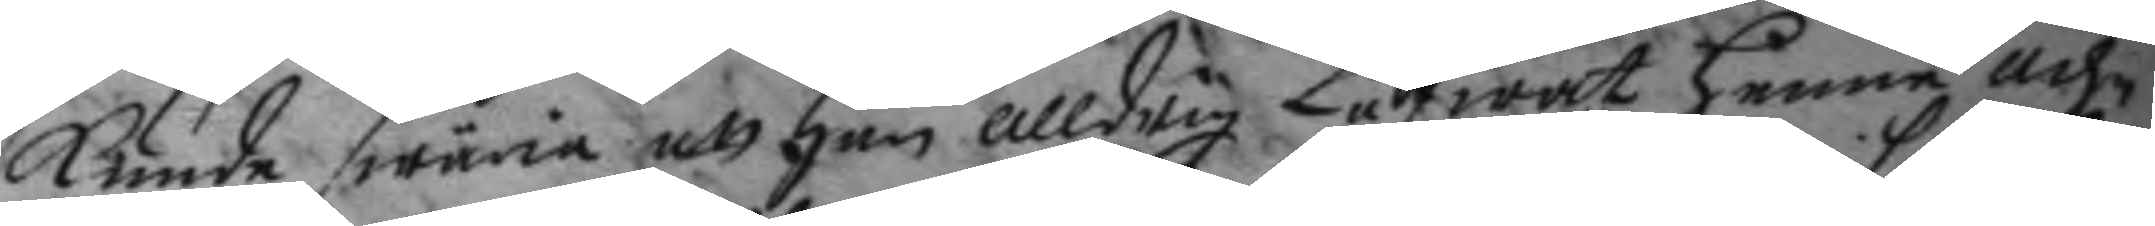kunde swäria att han alldrig Låfwat henne äch¬
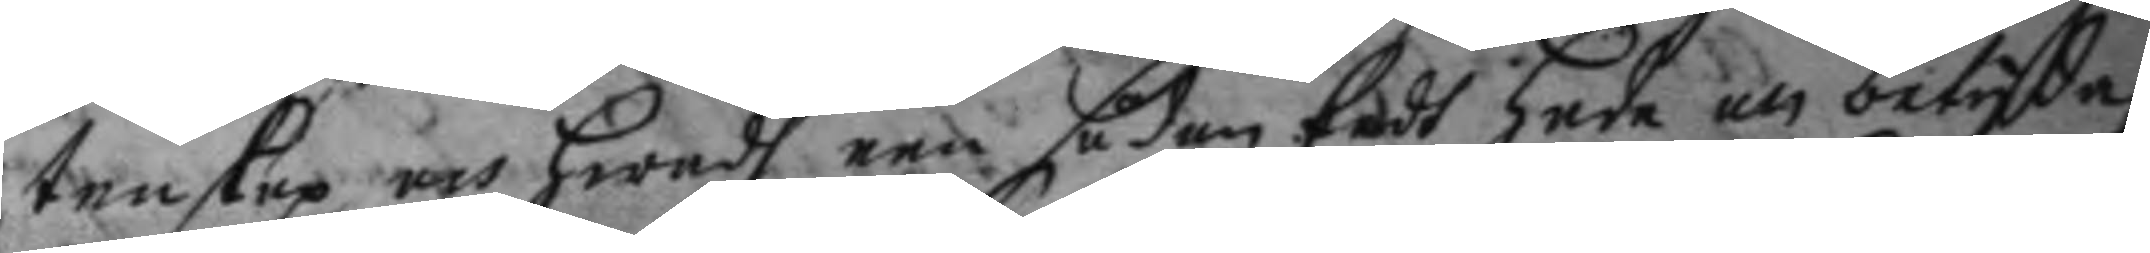tenskap och hwadh een sådan Eedh hade att betyda,
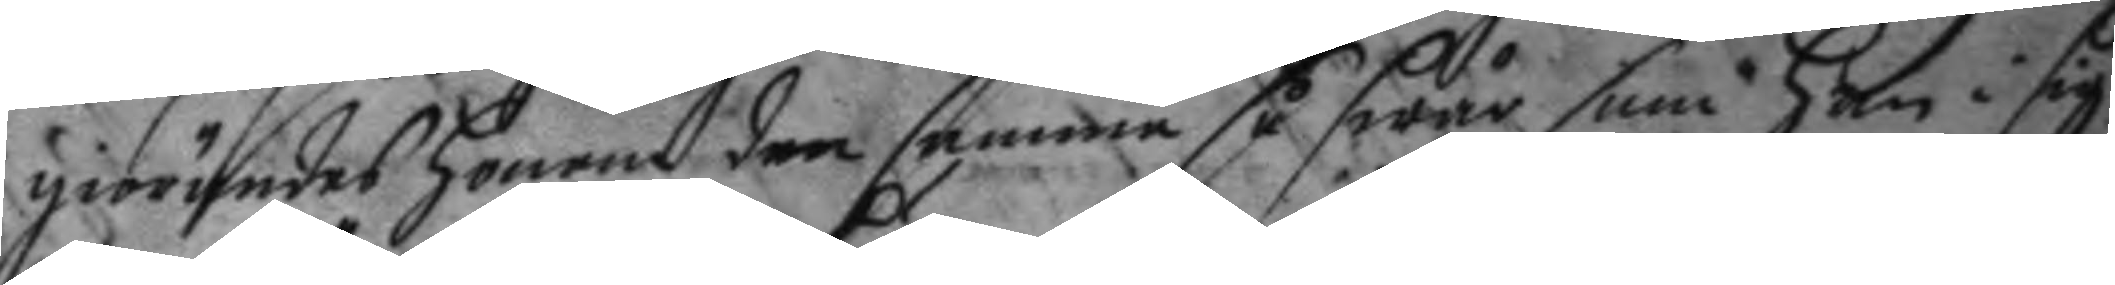giörandes honom den samma så swår som han i sig
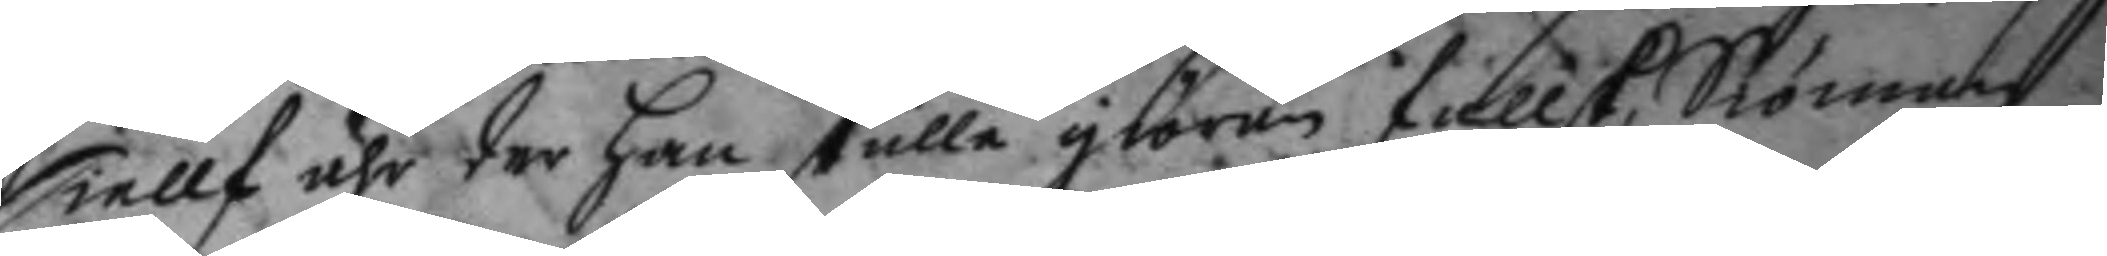siellf ähr der han skulle giöra fallsk, Siöman
